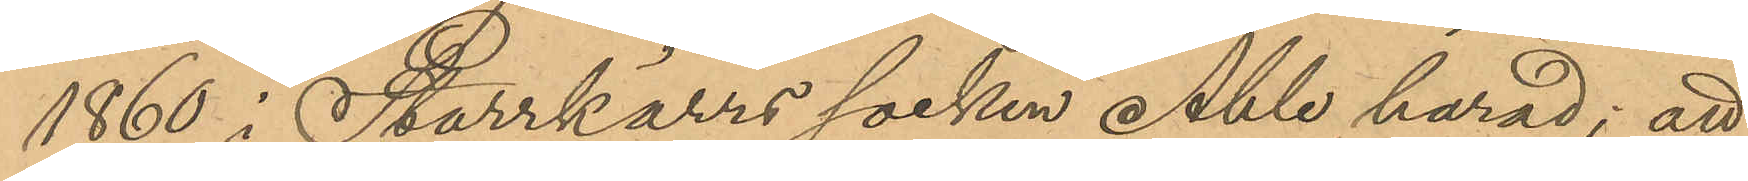1860 i Starrkärrs socken Ahle härad; att
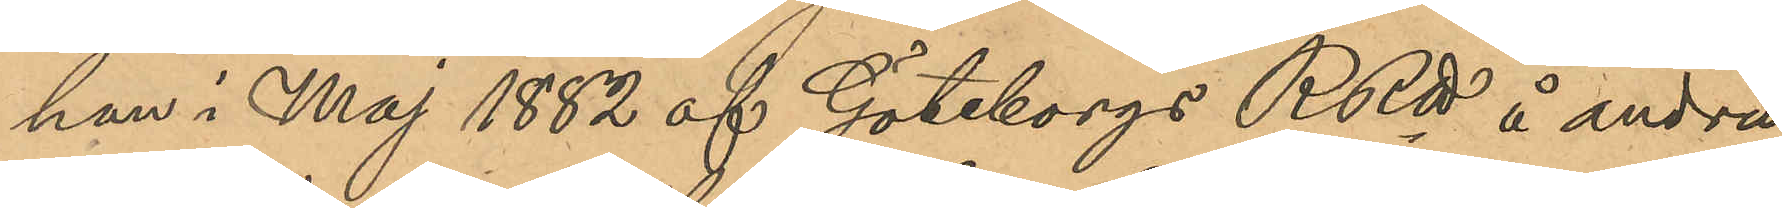han i Maj 1882 af Göteborgs RRtt å andra
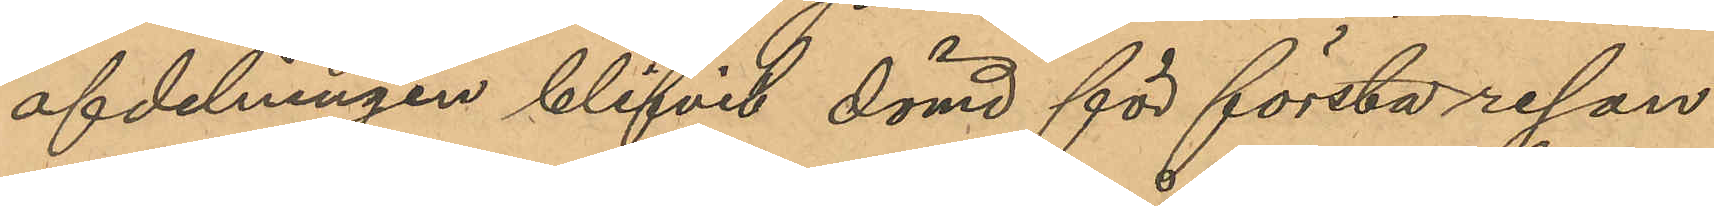afdelningen blifvit dömd för första resan
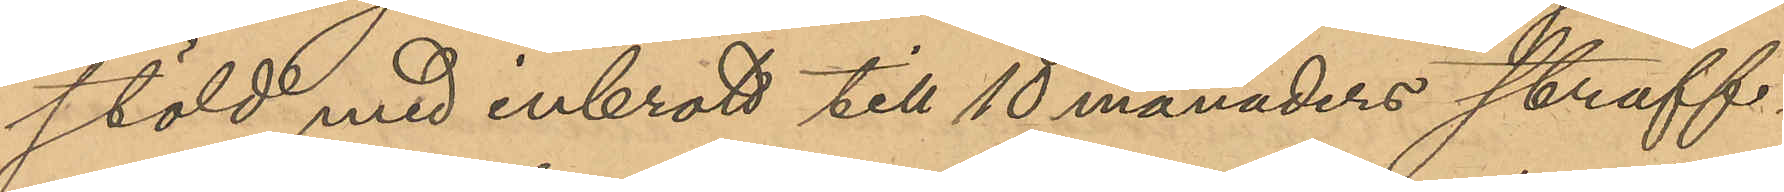stöld med inbrott till 10 månaders straff¬
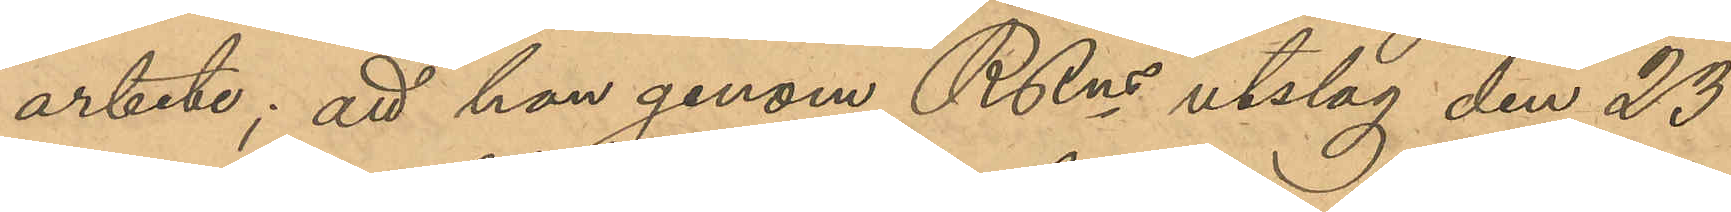arbete; att han genom RRns utslag den 23
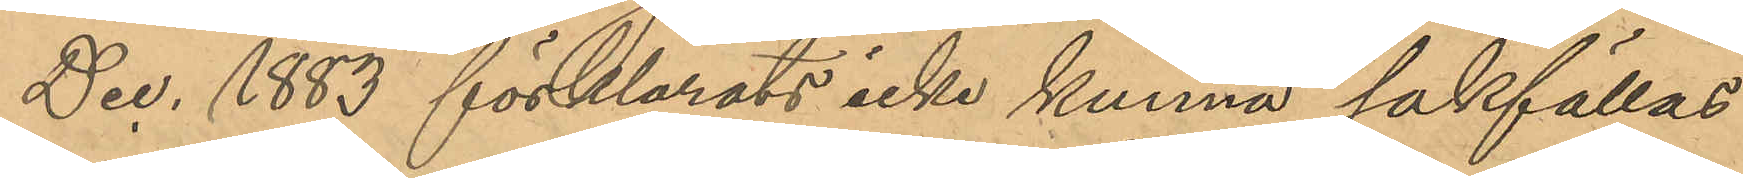Dec. 1883 förklarats icke kunna sakställas
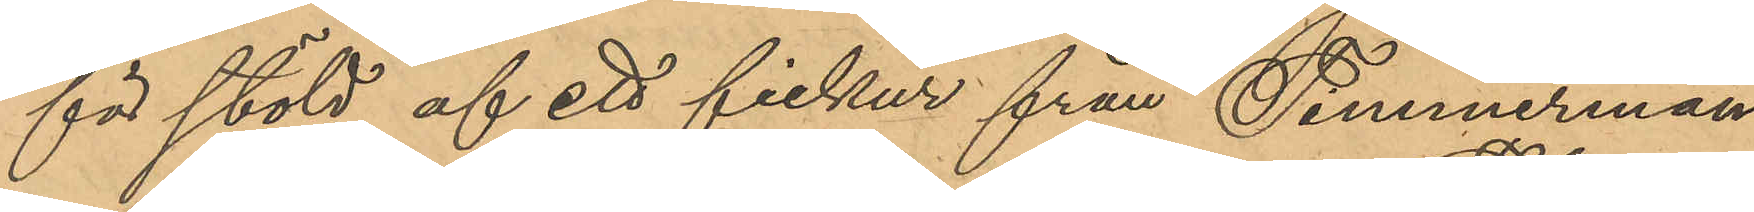för stöld af ett fickur från Timmerman¬
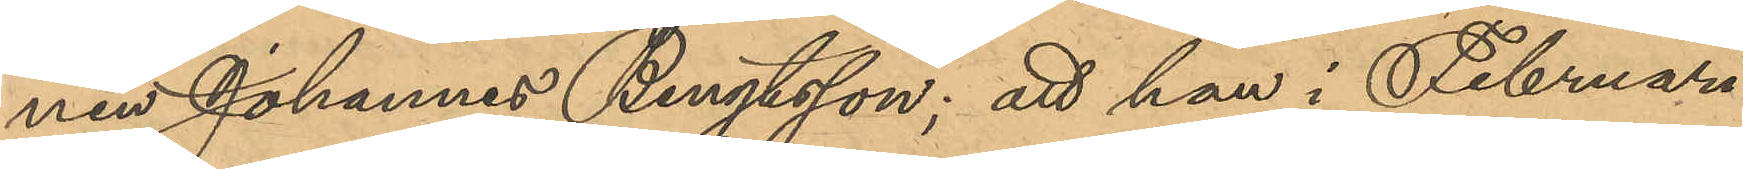nen Johannes Bengtsson; att han i Februari
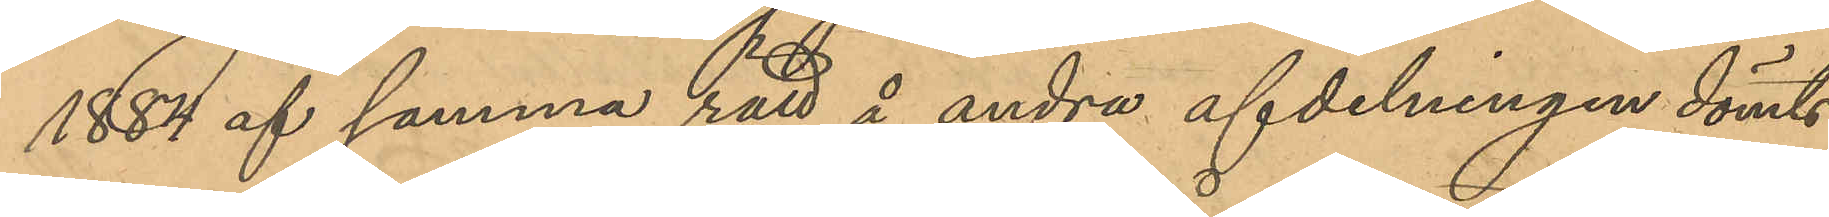1884 af samma rätt å andra afdelningen dömts
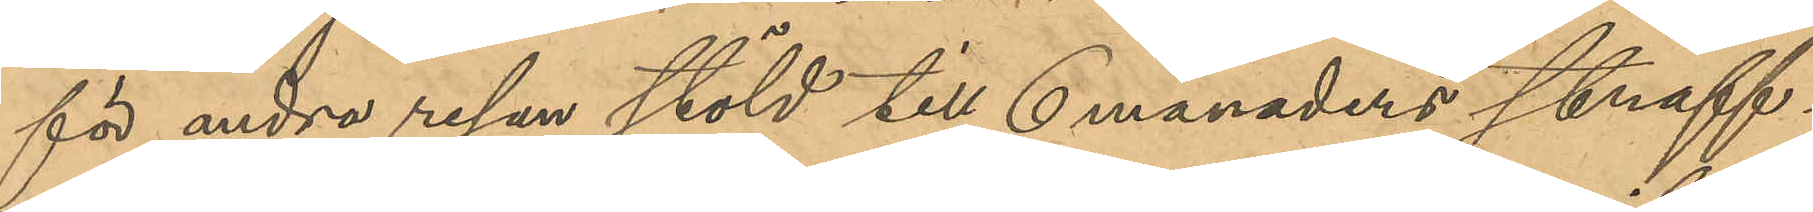för andra resan stöld till 6 månaders straff¬
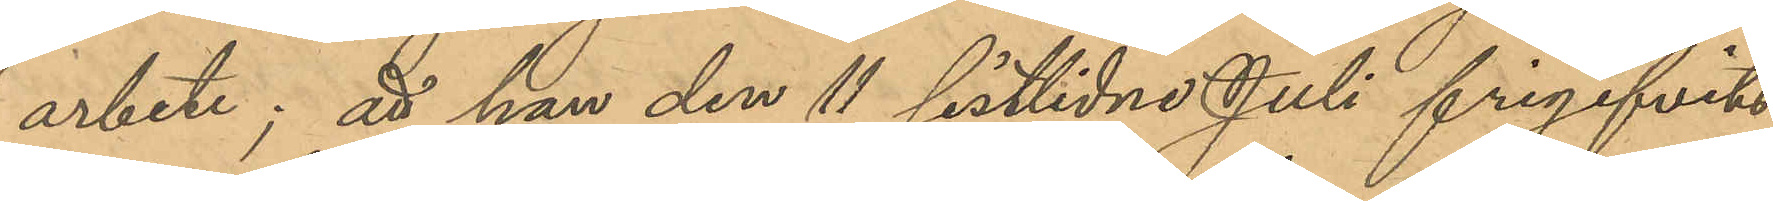arbete; att han den 11 sistlidne Juli frigifvits
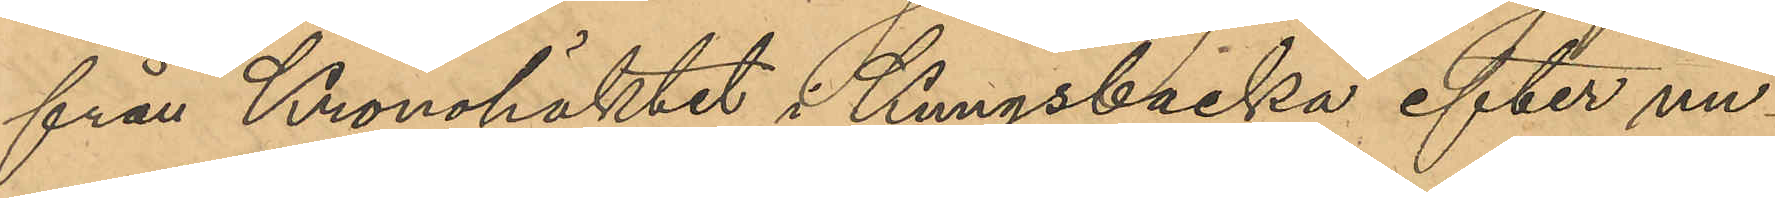från Kronohäktet i Kungsbacka efter un¬
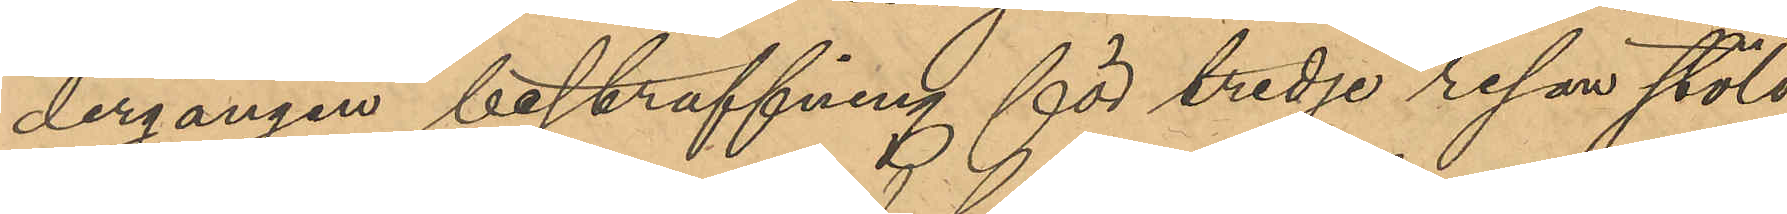dergången bestraffning för tredje resan stöld
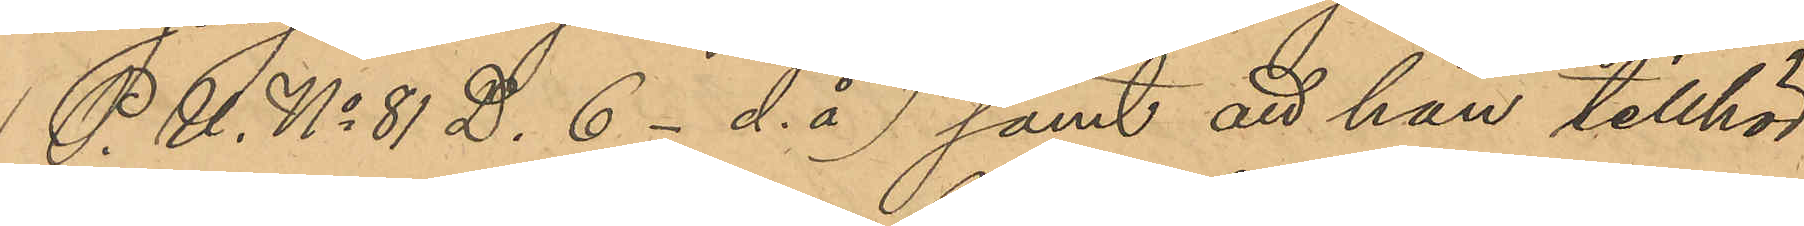(P.U. No 81 D. 6 - d.å) samt att han tillhör
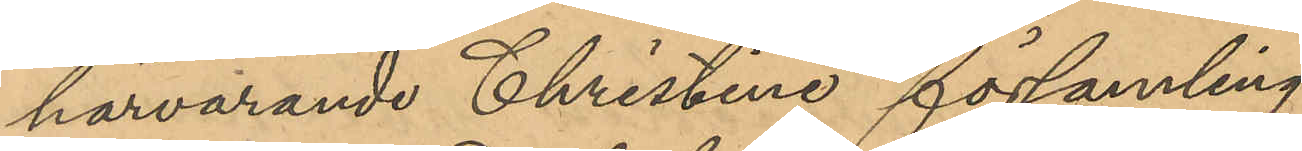härvarande Christine församling.
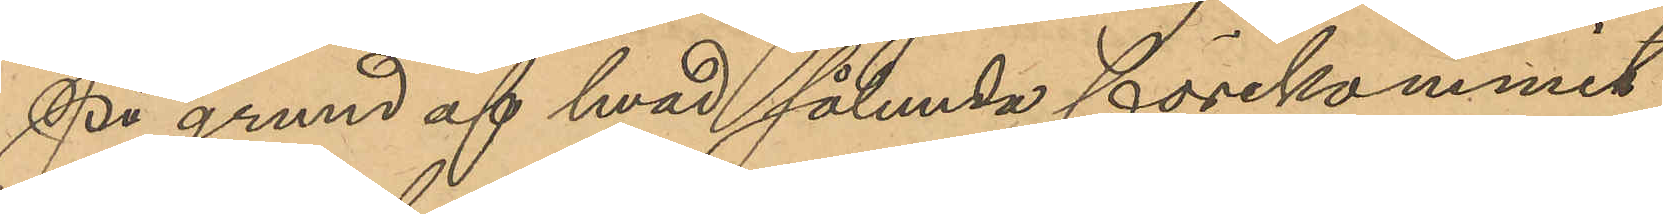På grund af hvad sålunda förekommit
